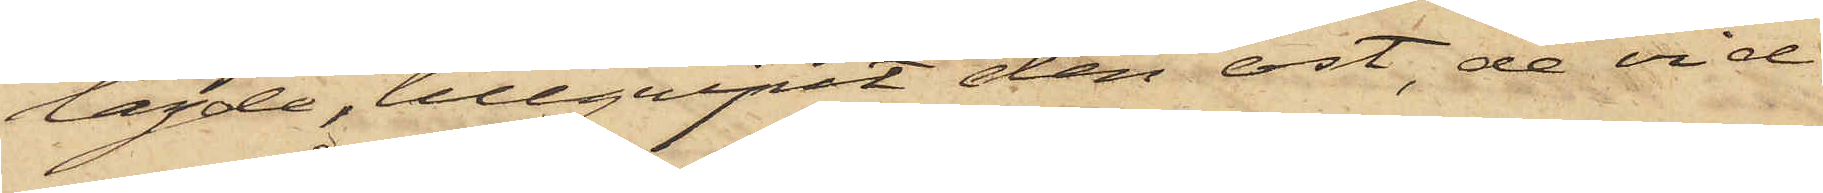lagde, tillgripit den ost, de vid
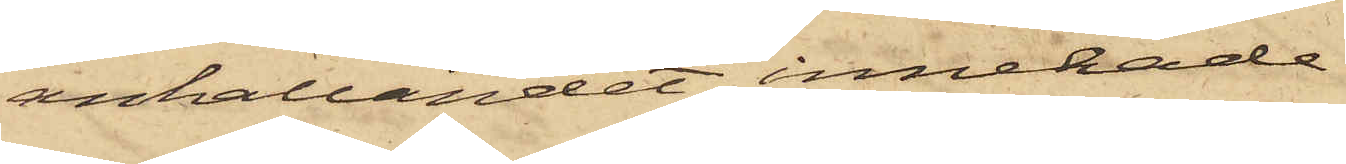anhållandet innehade.
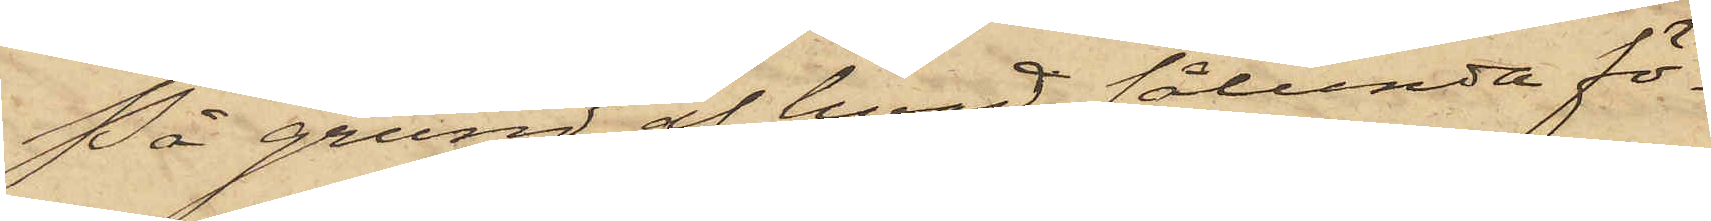På grund af hvad sålunda fö¬
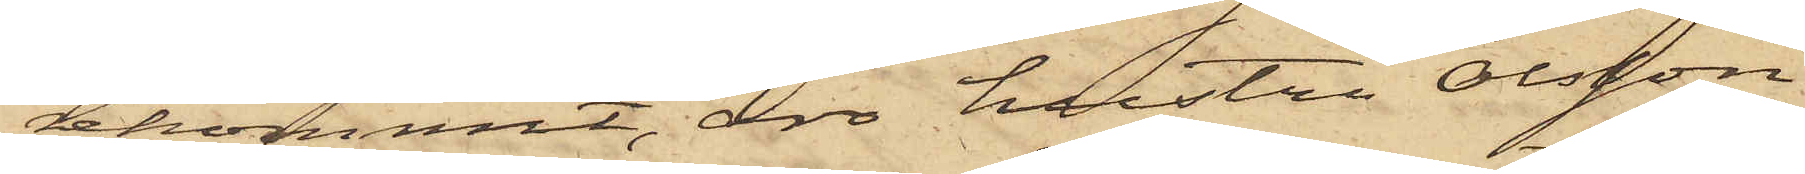rekommit, äro hustru Olsson
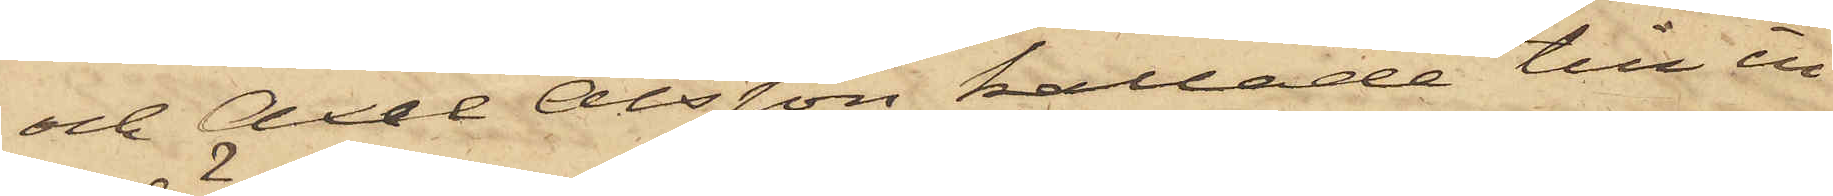och Axel Olsson kallade till in¬
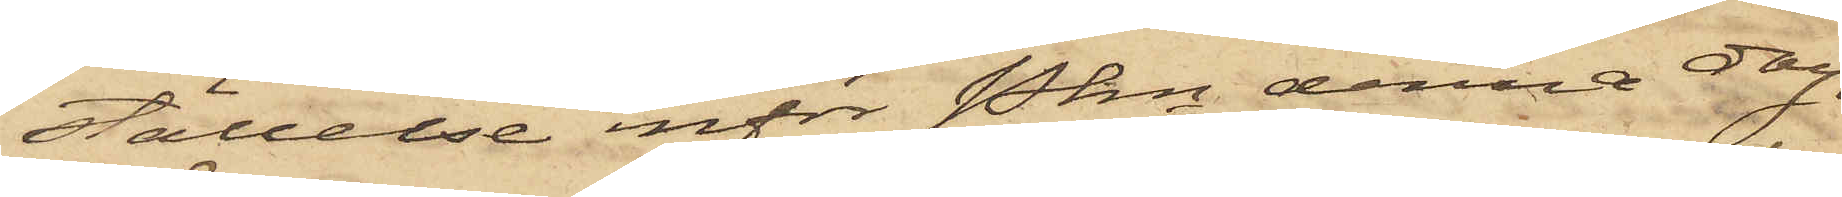ställelse inför Pkn denna dag.
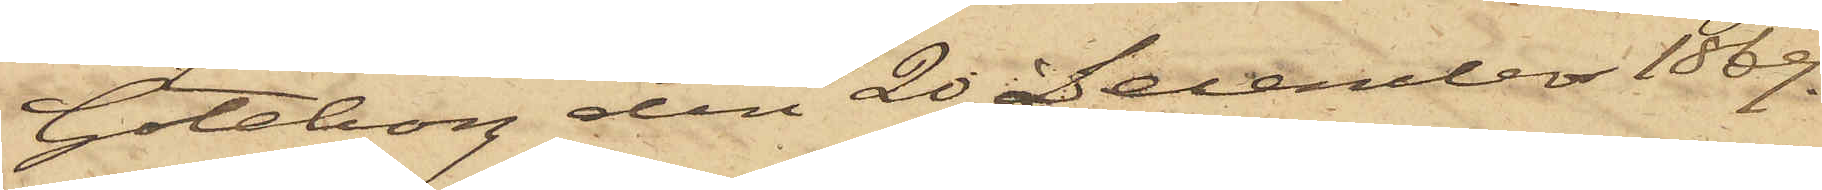Göteborg den 20 December 1869.
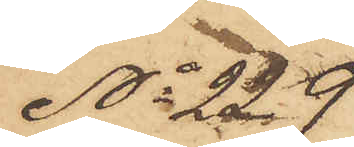No 229
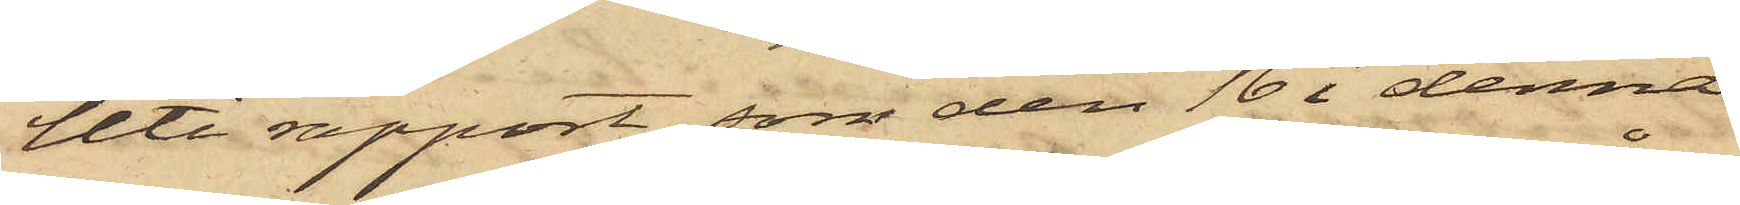Uti rapport, som den 16 i denna
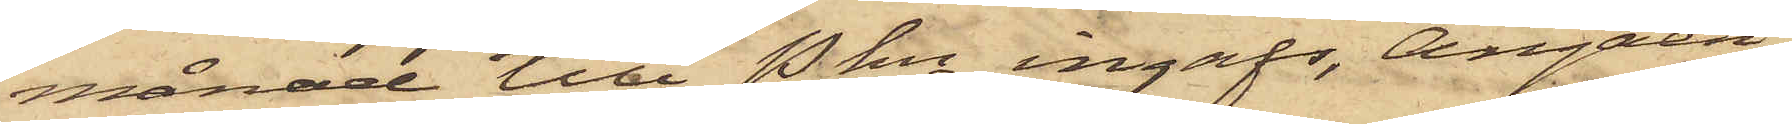månad till Pkn ingafs, angåen¬
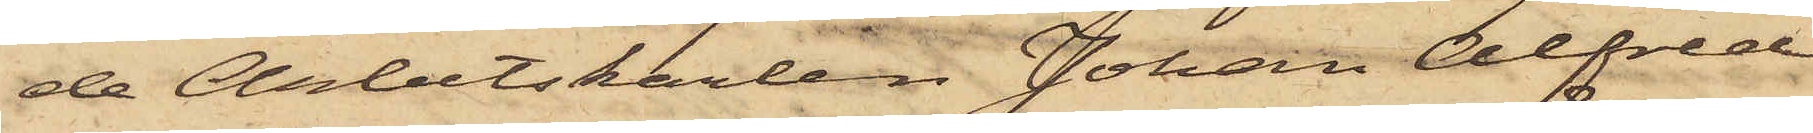de Arbetskarlen Johan Alfred
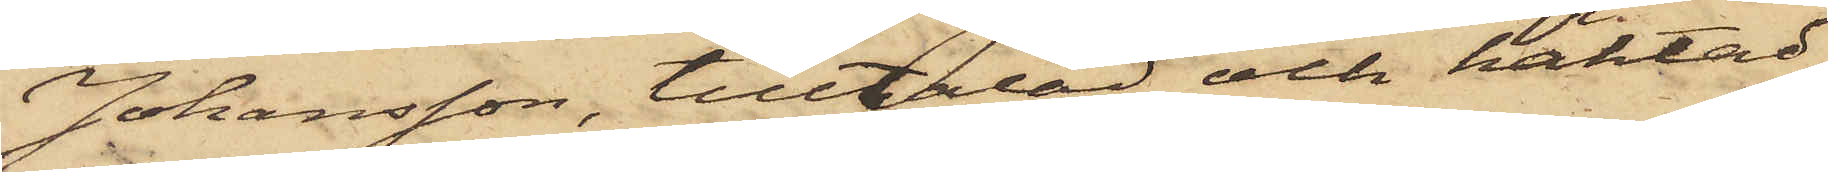Johansson, tilltalad och häktad
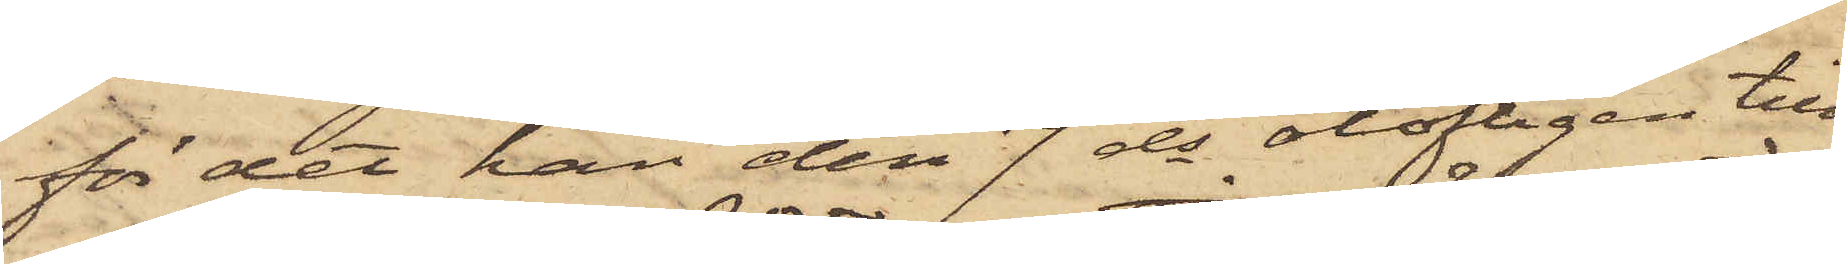för det han den 7 ds olofligen till¬
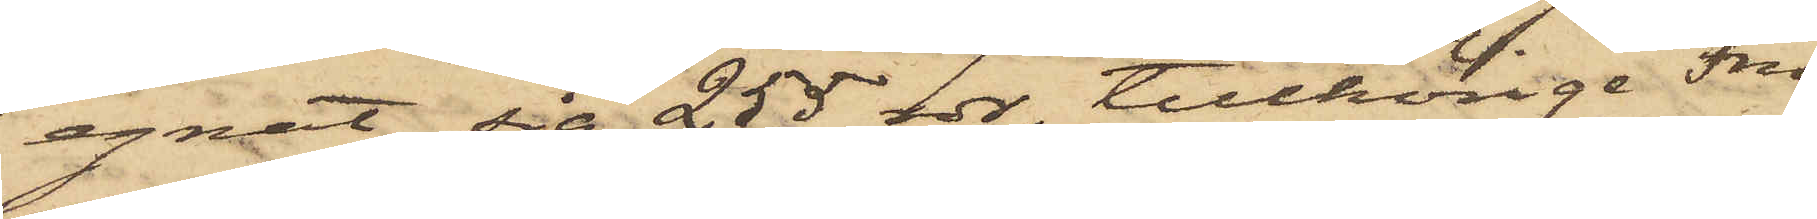egnat sig 255 rdr, tillhörige Fru
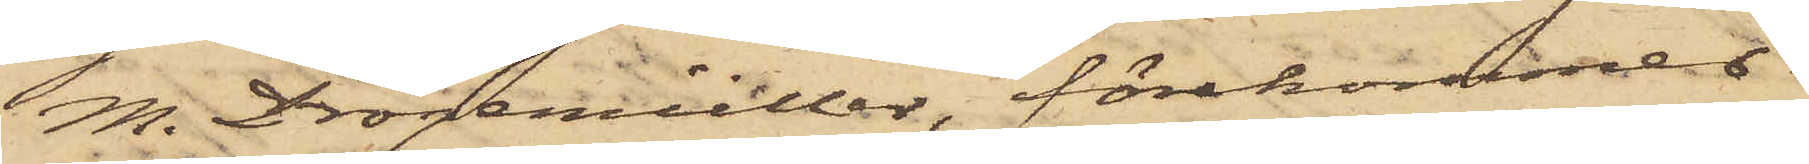M. Drögemüller, förekommer
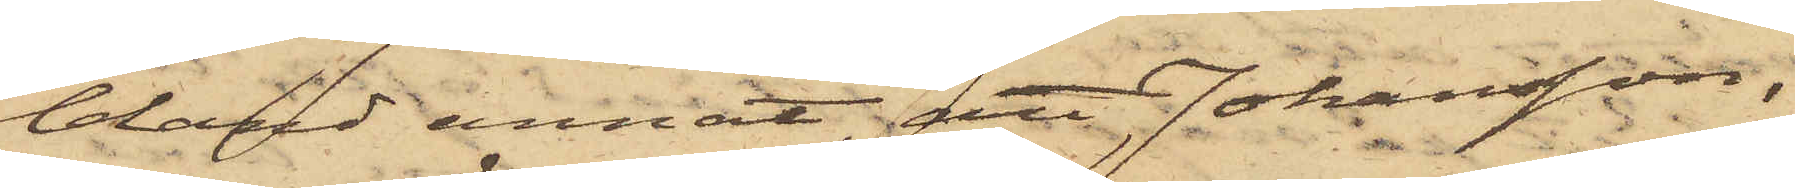bland annat, att Johansson,
